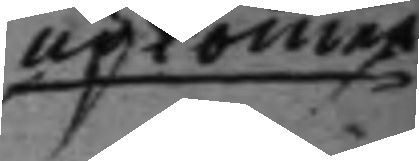upkommer
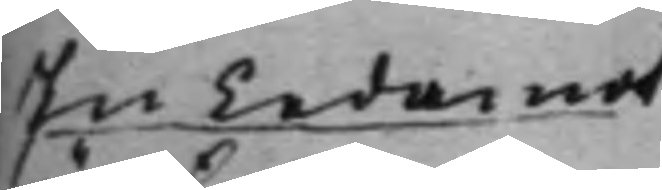En Ledamot
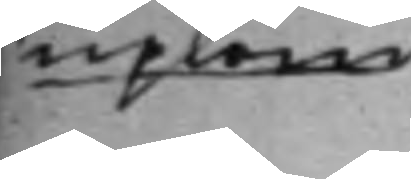upkom
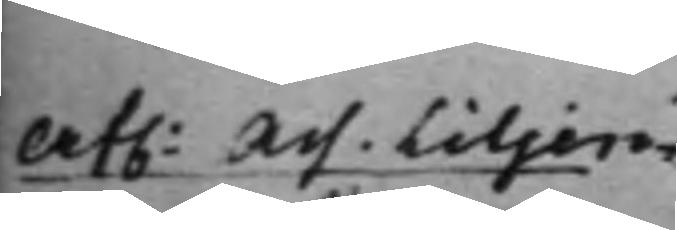Af. Ass. Liljen¬
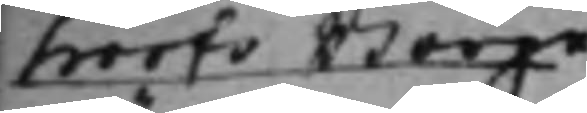hoofs Borge¬
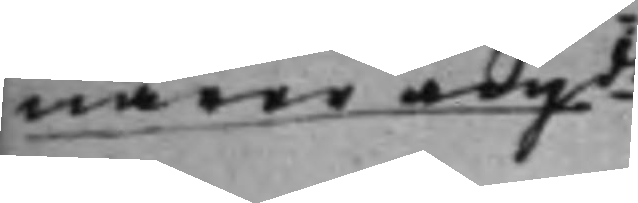närer angde
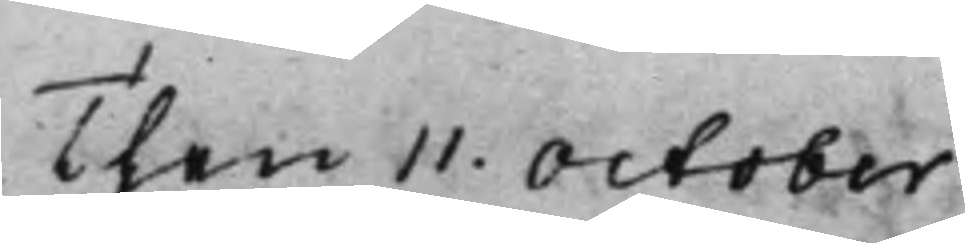Then 11. October
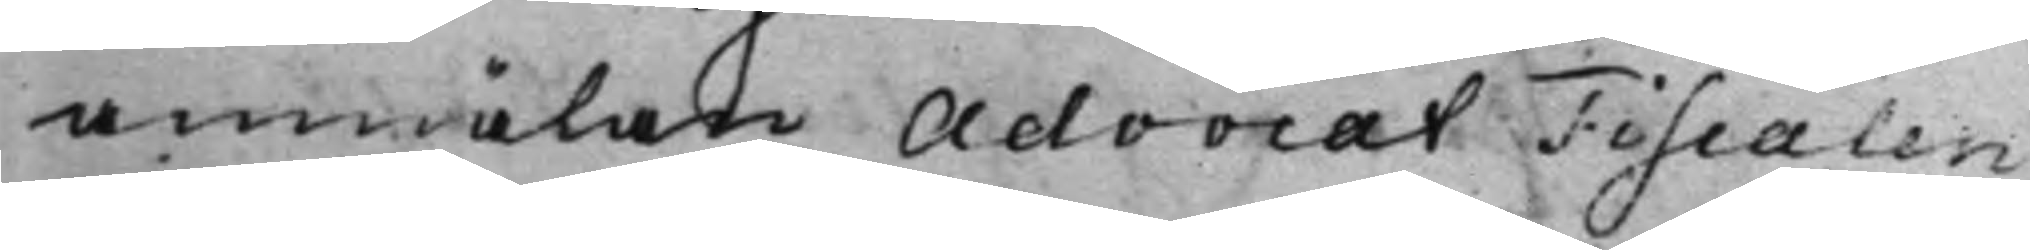anmälan AdvocatFiscalen
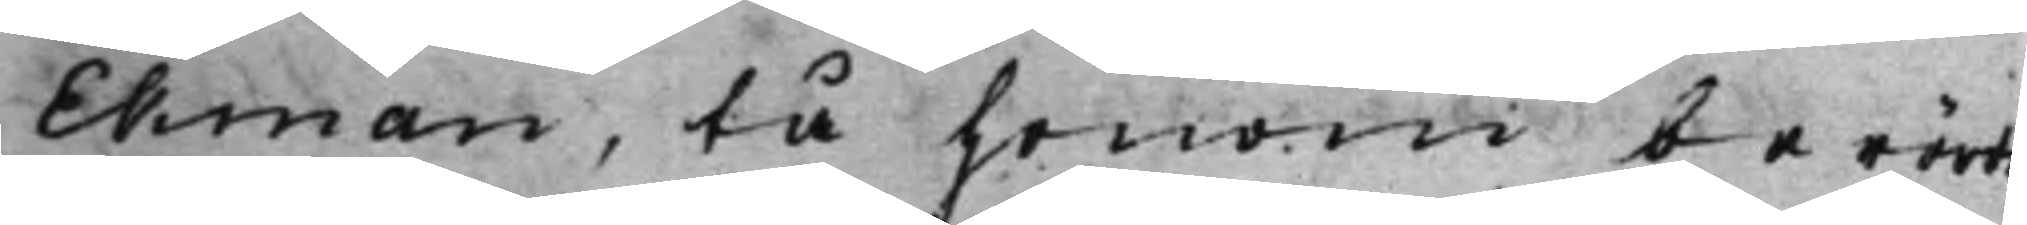Ekman, tå honom berörde
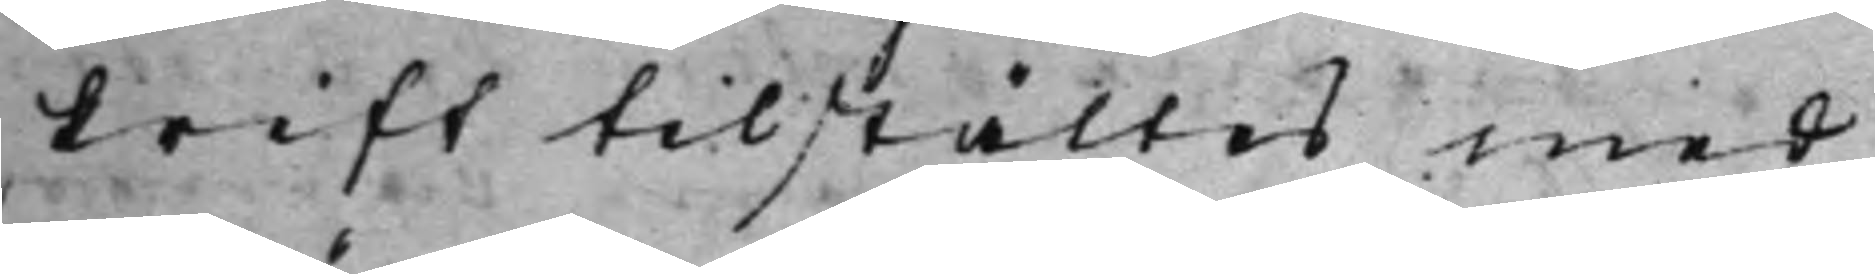skrift tilstältes med
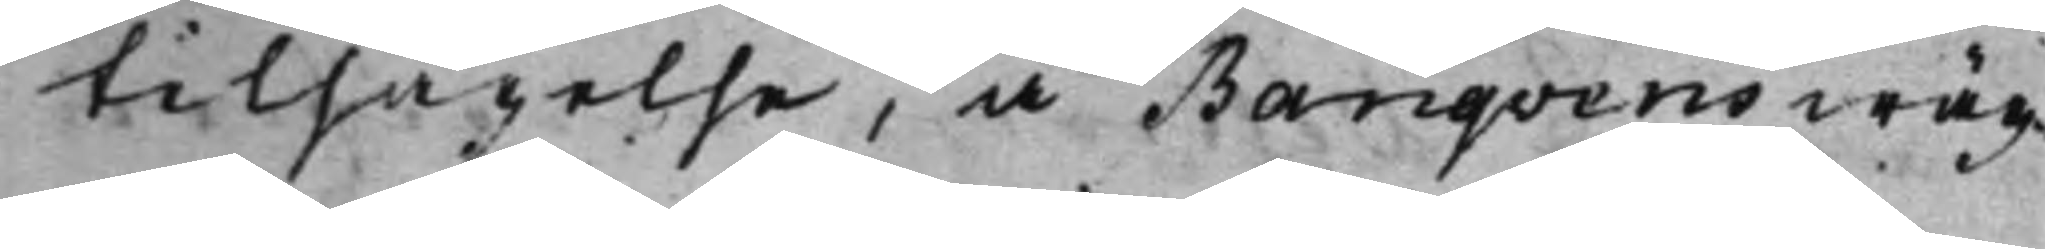tilsägelse, å Banqvens wäg¬
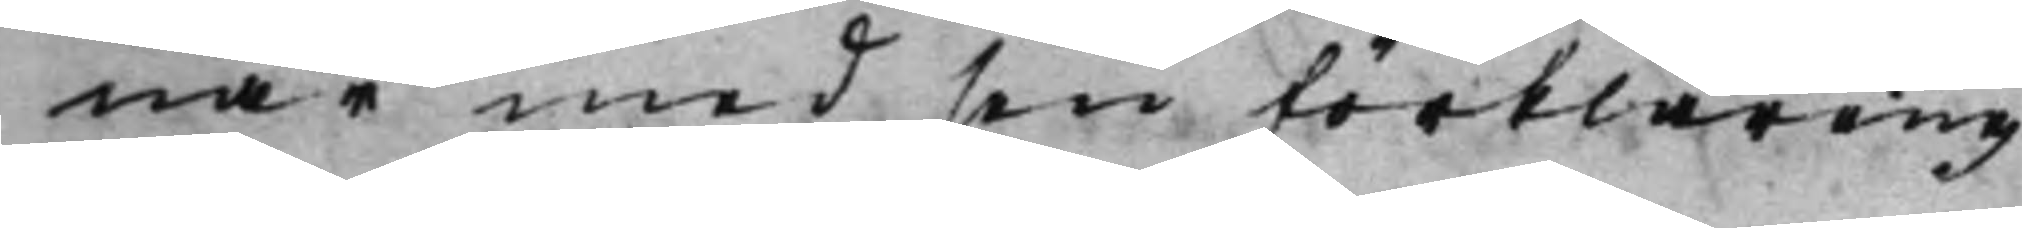nar med sin förklaring
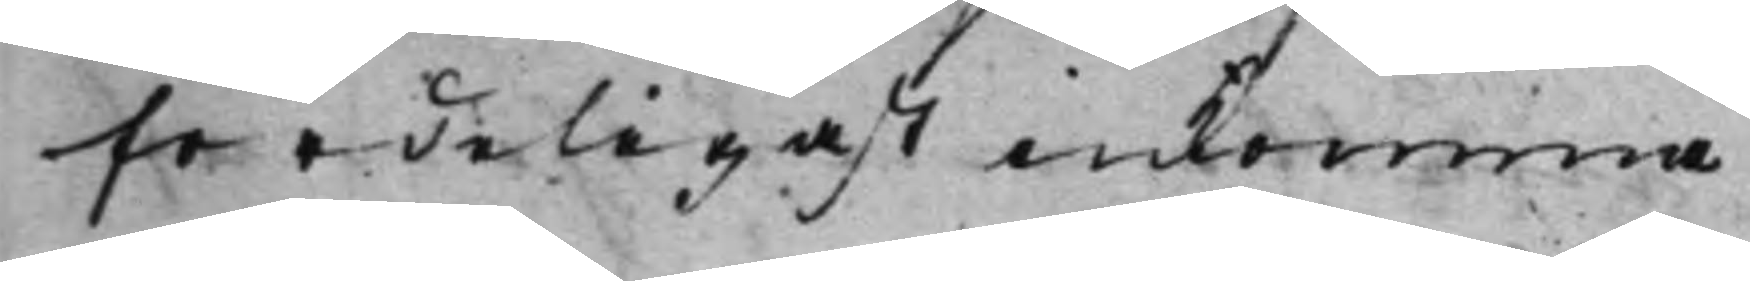fordeligast inkomma
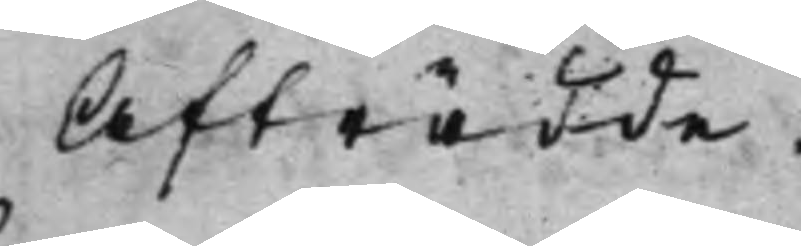Afträdde.
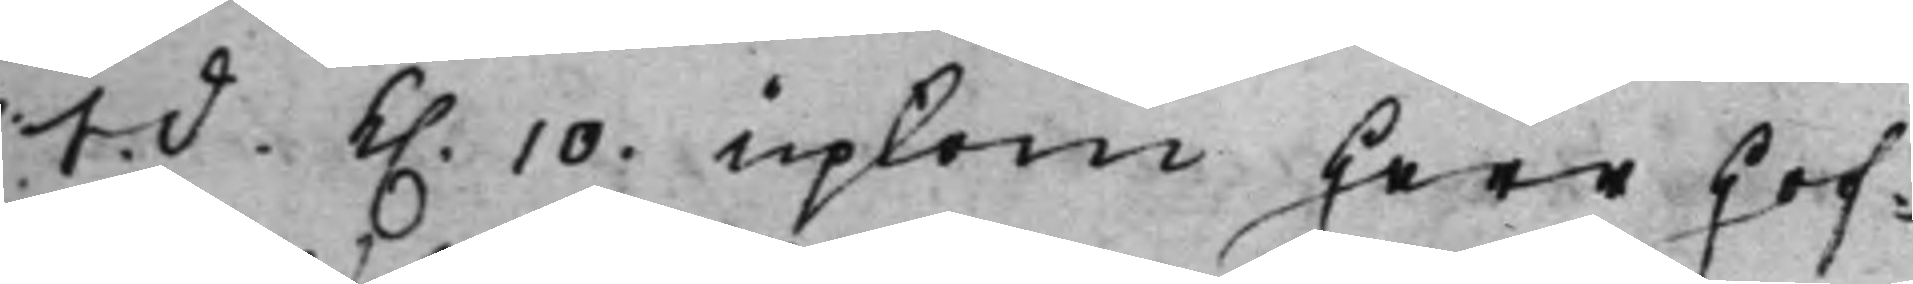S. d. K. 10. upkom Herr Hof¬
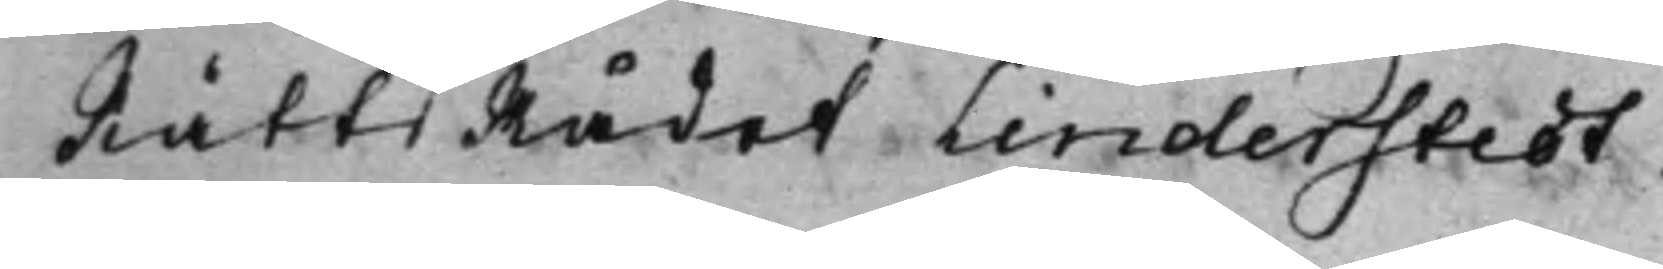RättsRådet Linderstedt.
